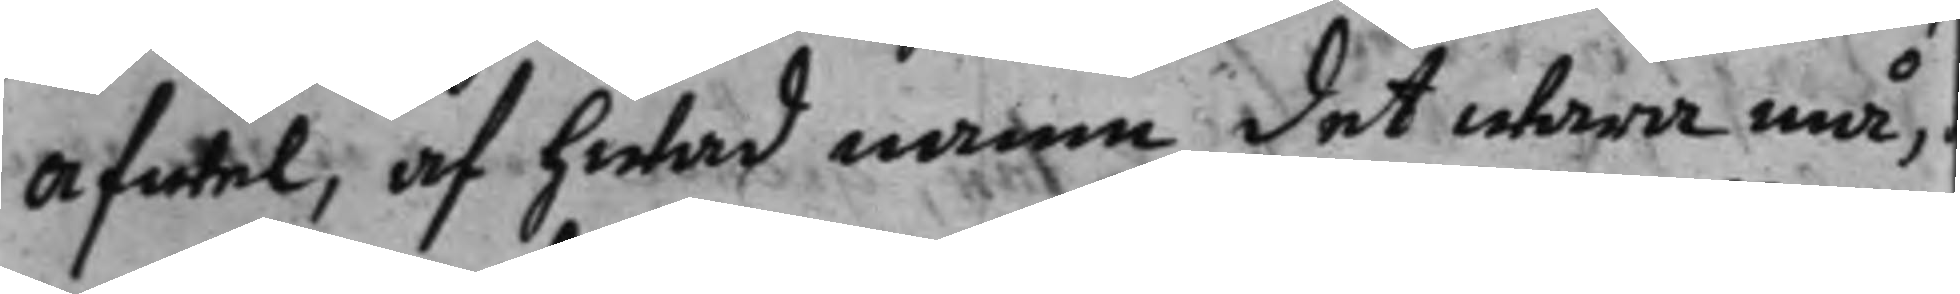afwel, af hwad namn det wara må,
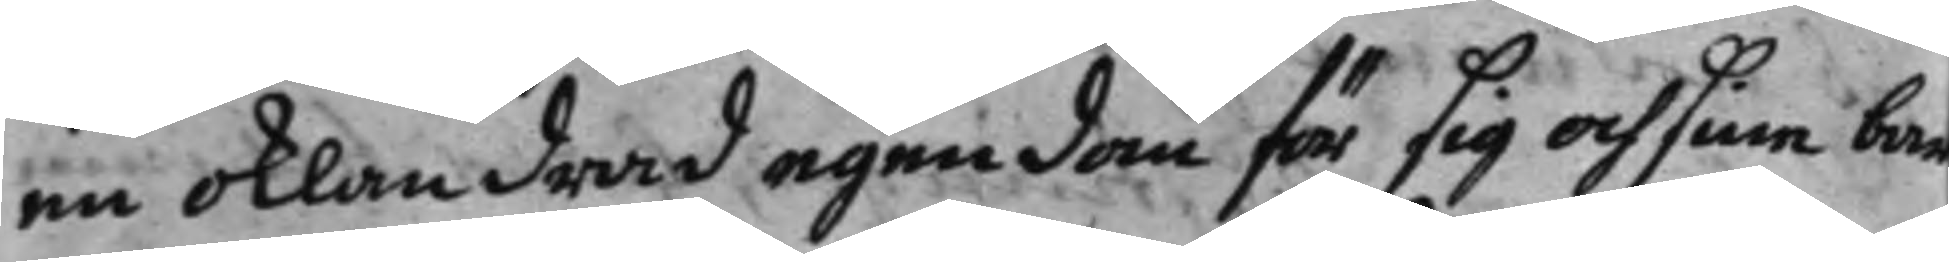en oklandrad egendom för sig och sine bar
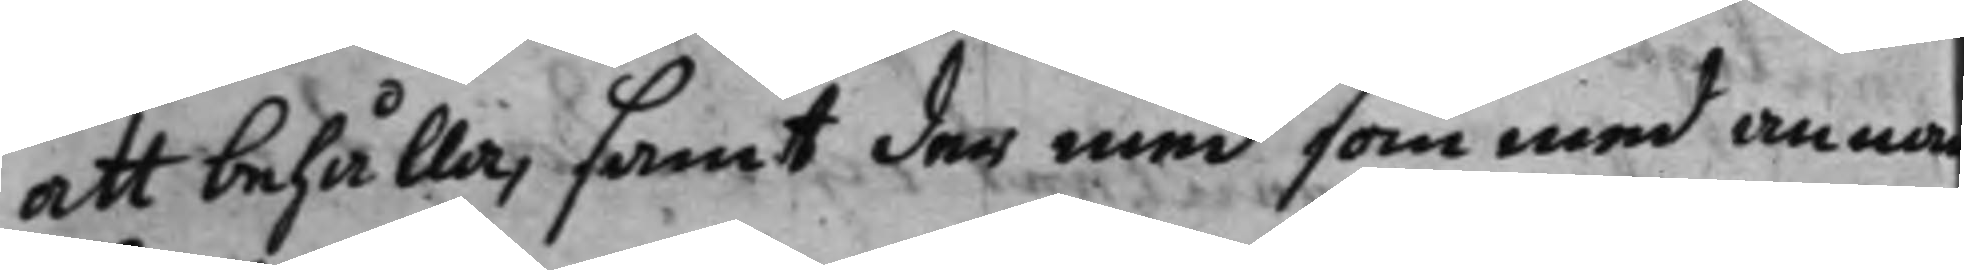att behålla, samt der med som med anna
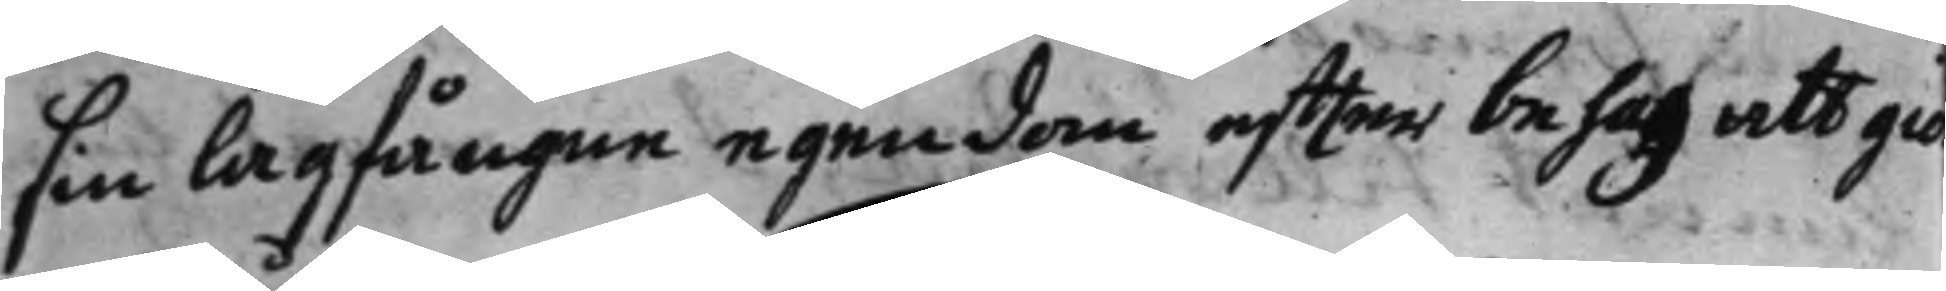sin lagfångne egendom effter behag att giö
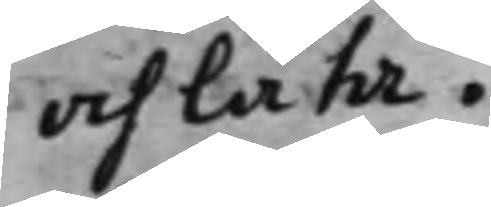och låta.
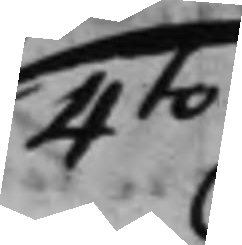4:to
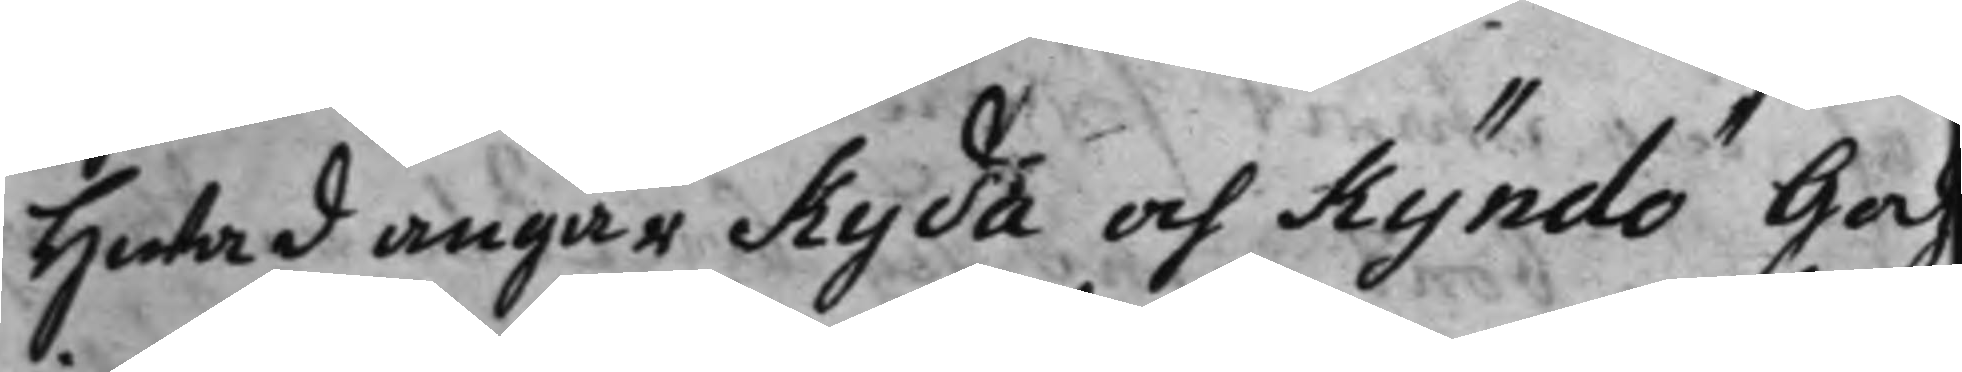Hwad angår Kyda och Kyndö Gods
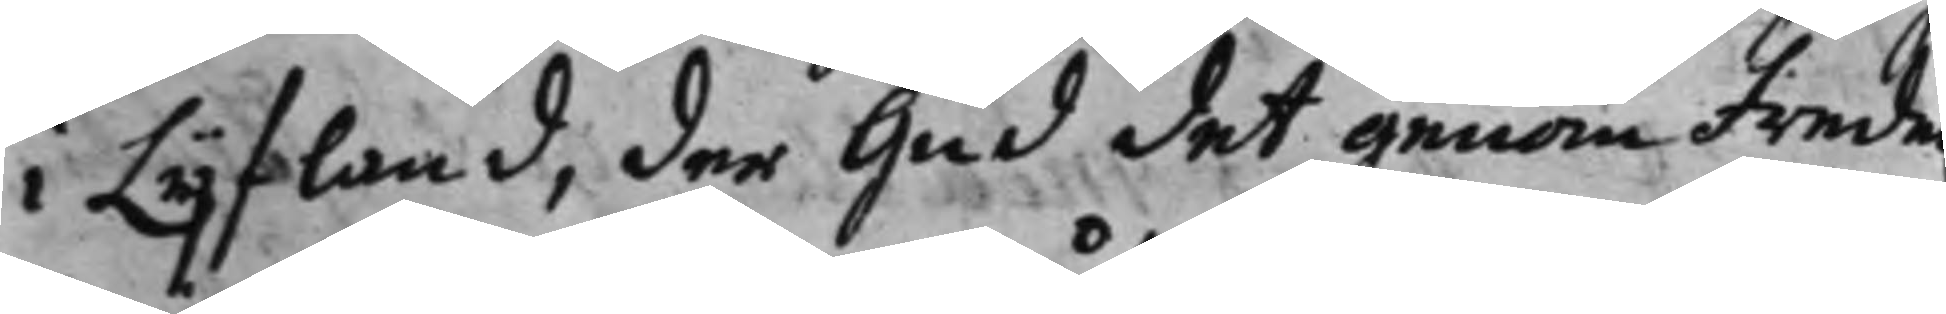i Lijfland, der Gud det genom frede
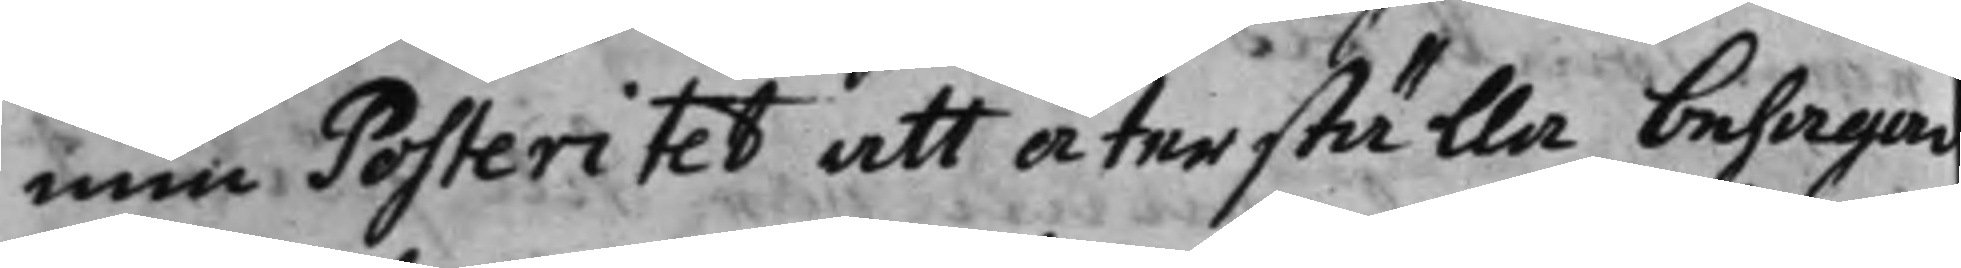min Posteritet att återställa behagar
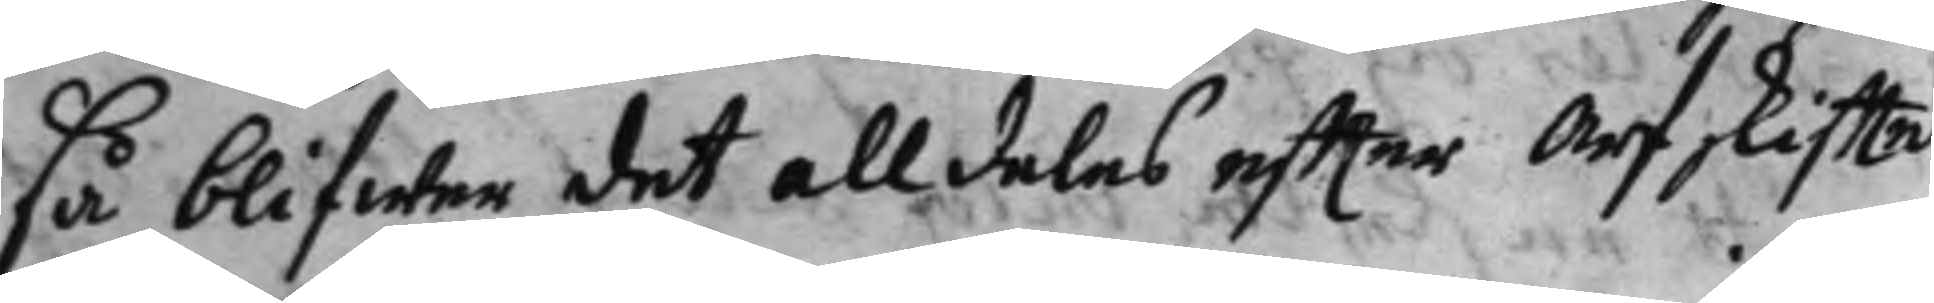så blifwer det alldeles effter Arfskiffte
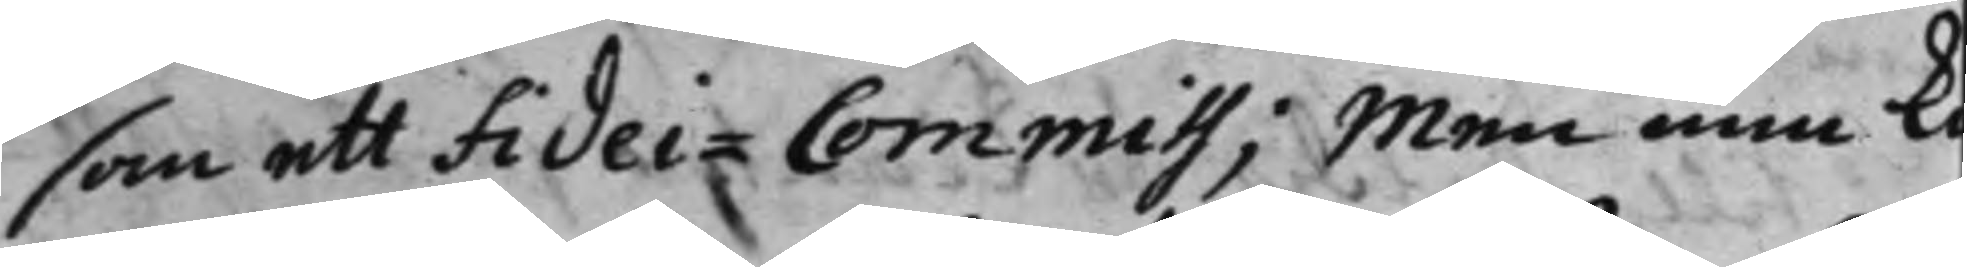som ett Fidei-Commiss; Men min k 
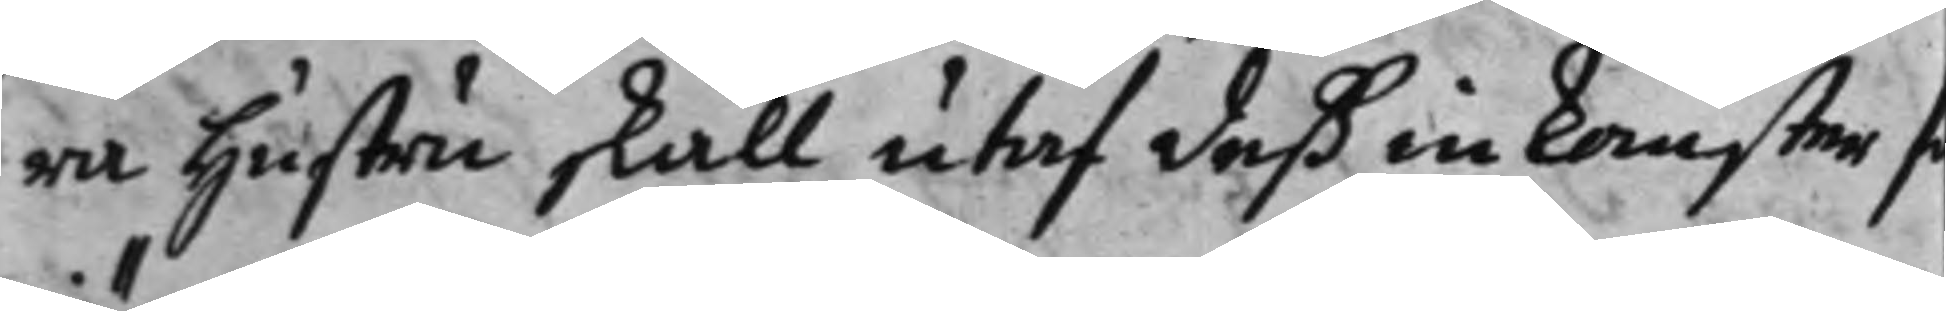ra hustru skall utaf deß inkomster s
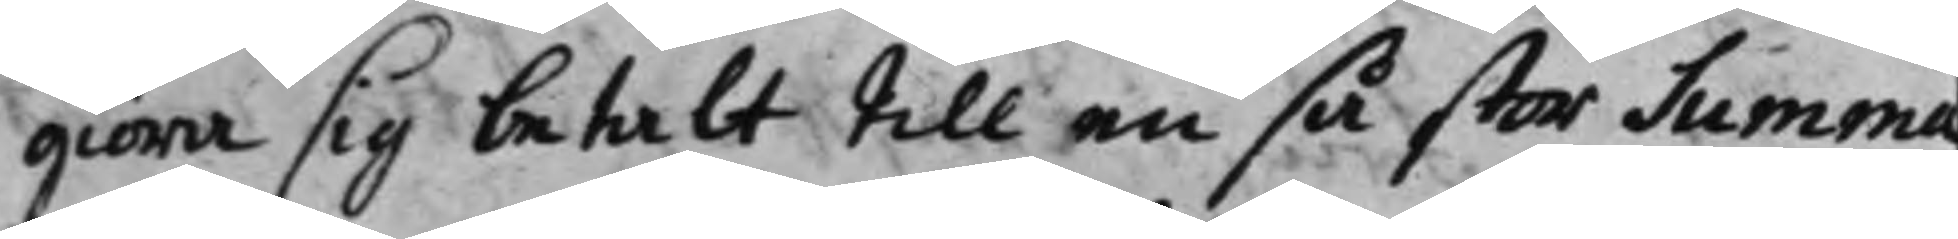giöra sig betalt till en så stor summa
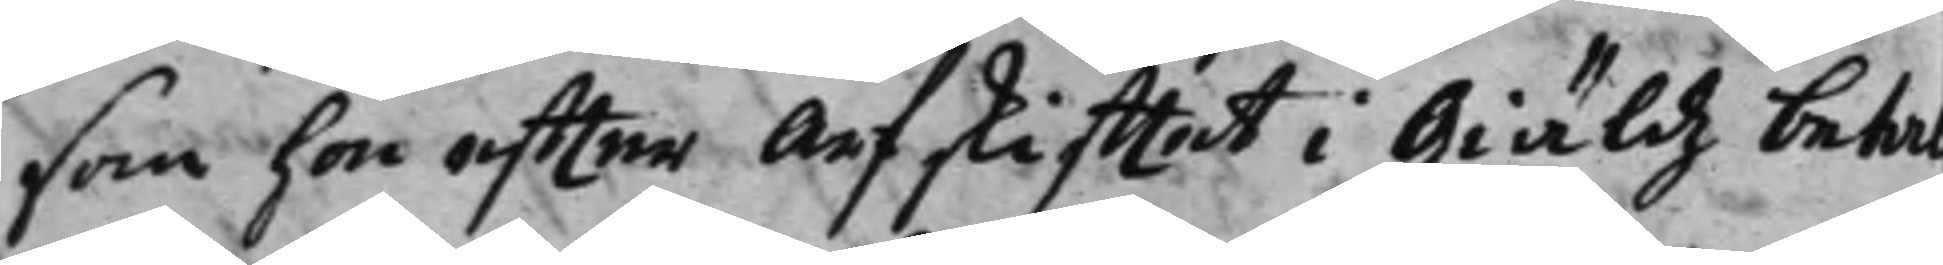som hon effter arfskifftet i Giäldz betal¬
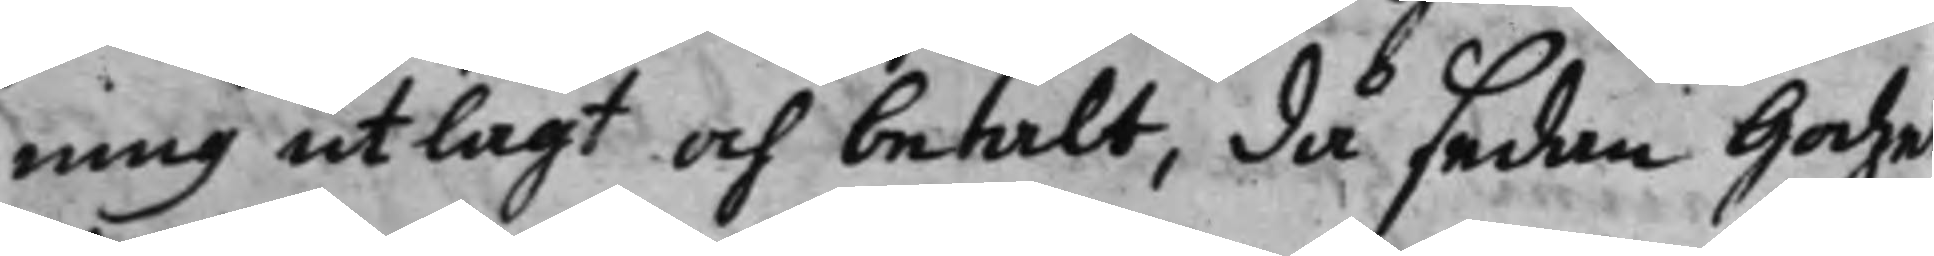ning utlagt och betalt, då sedan Godzet
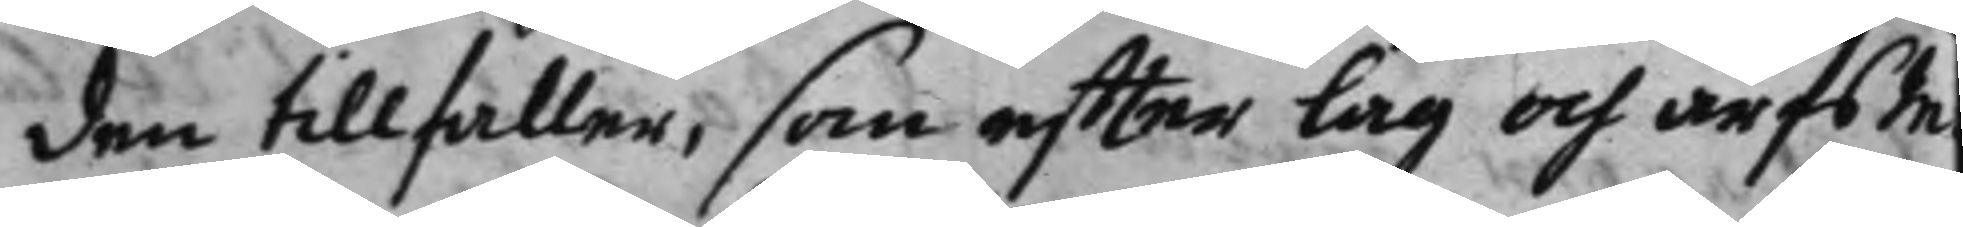den tillfaller, som effter lag och arfsIn¬
